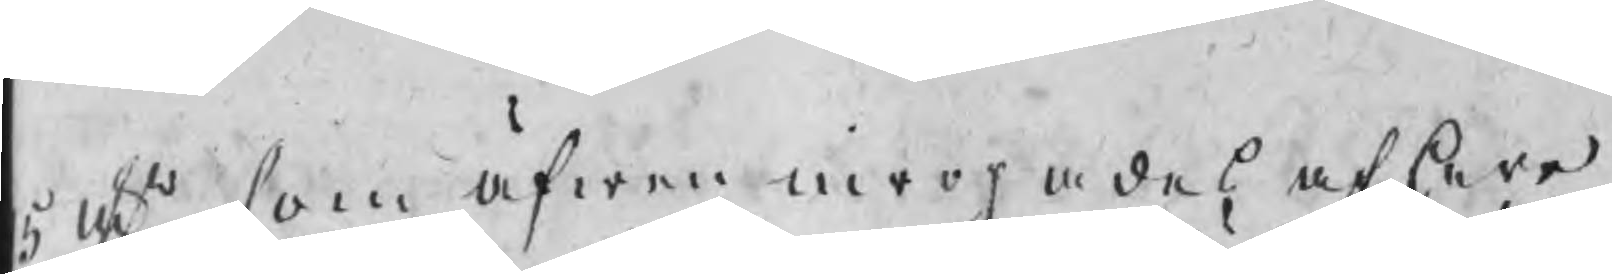5 nts som äfwen inropades af herr
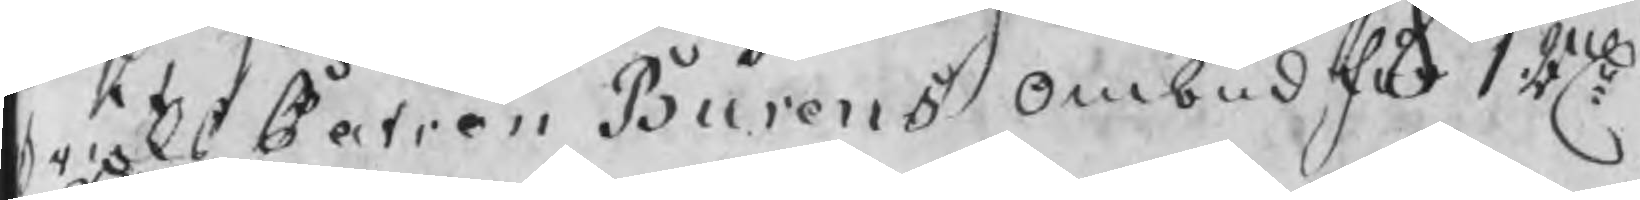BruksPatron Burens ombud för 1 Rne
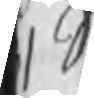1 Schil
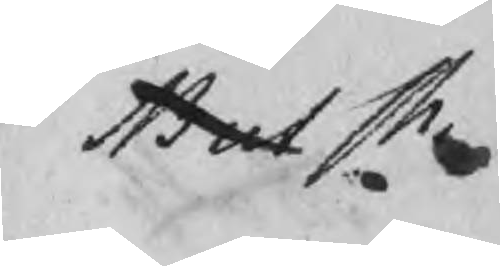But Ch
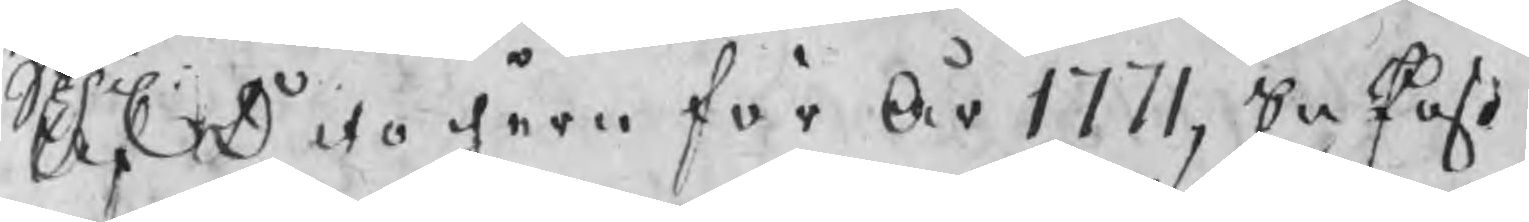Af Dito jern förÅr 1771, En Post
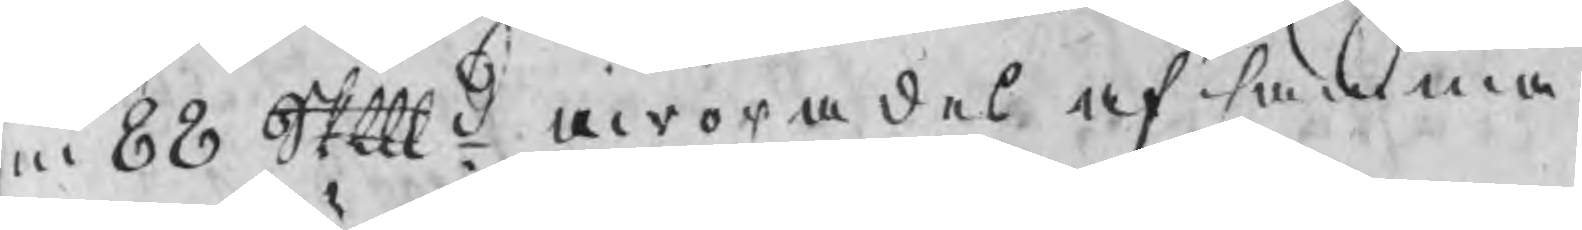m 88 Skpd inropades af samma
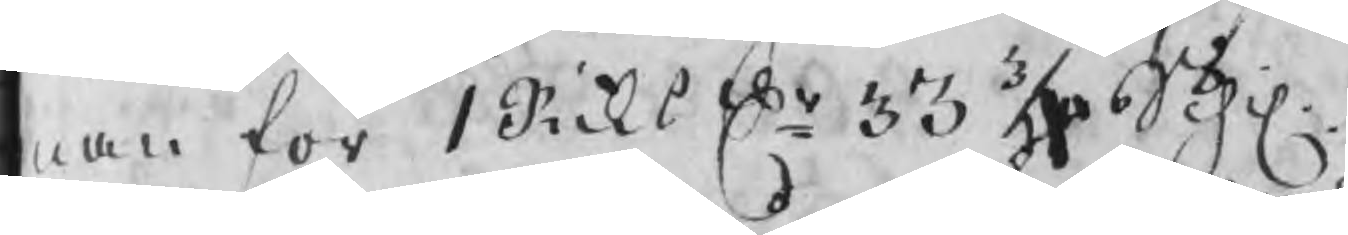man för 1 Riksdr 33 3/4 Schil.
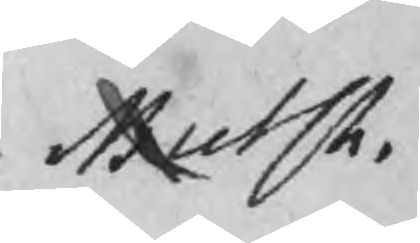MutCh. 
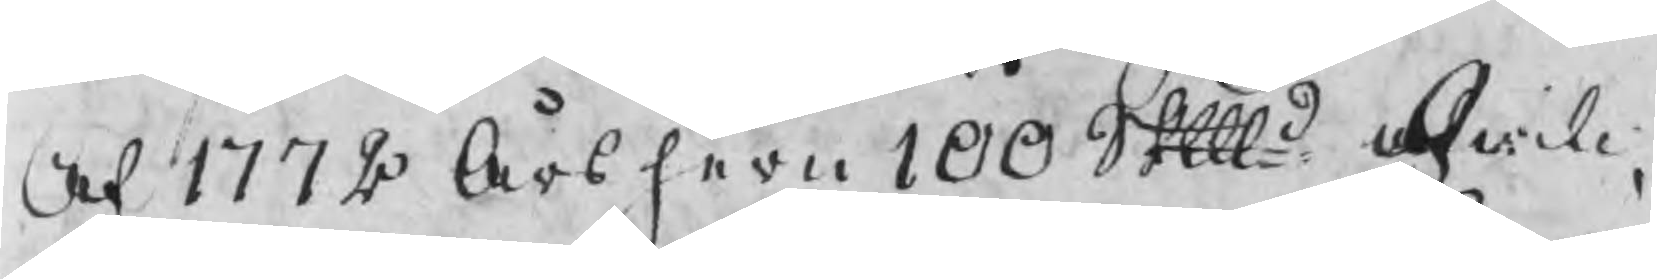Af 1772 Års jern 100 Skpd hwil¬
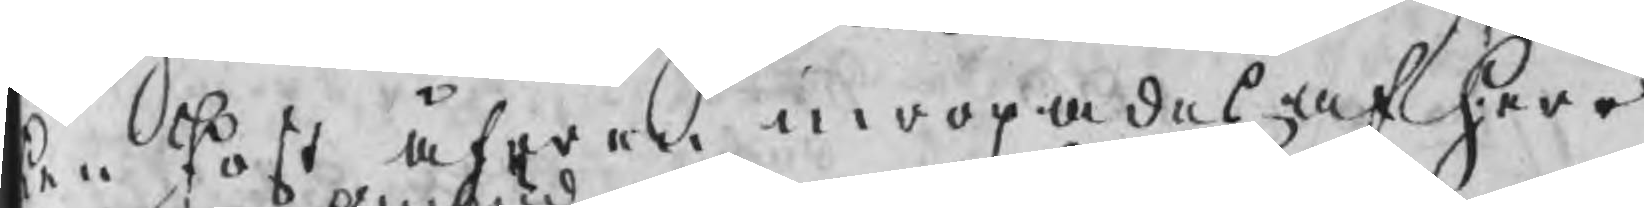ken Post äfwen inropades af Herr
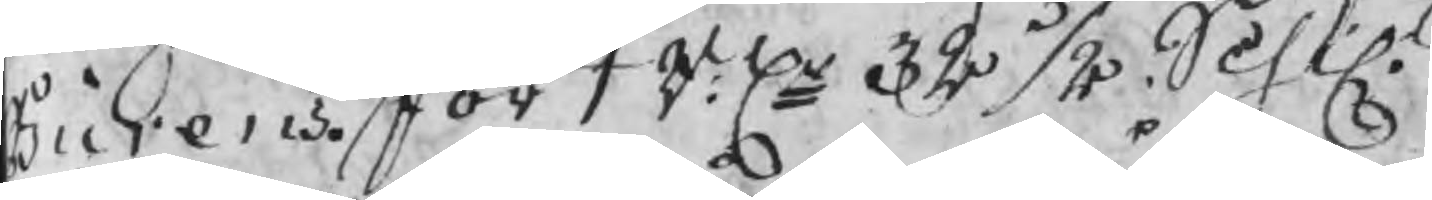Burens för 1 R:dr 32 ½ Schil
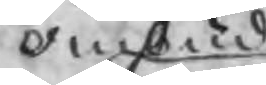ombud
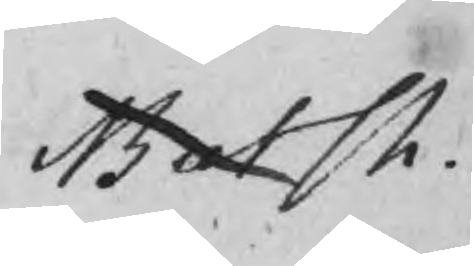ButCh
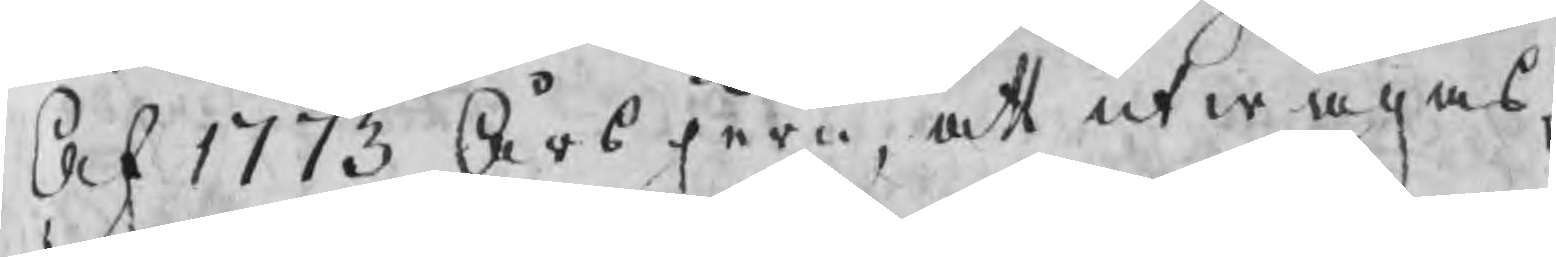Af 1773 Årsjern, att utwägas,
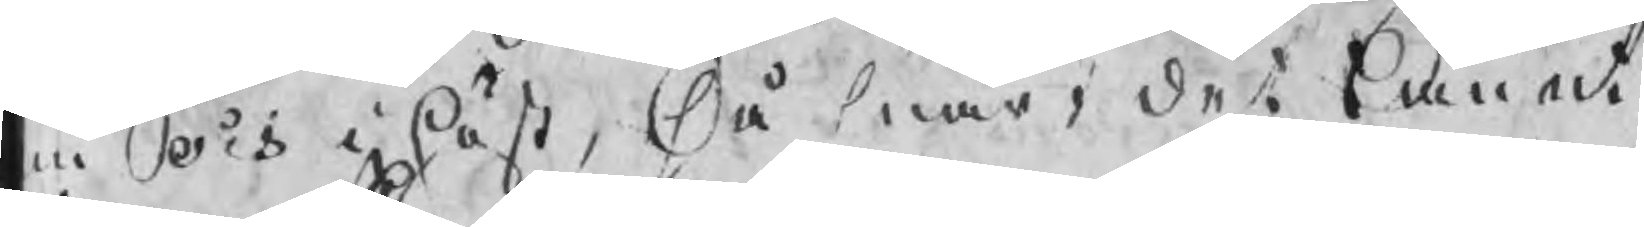u och i höst, så snart det bmnadt
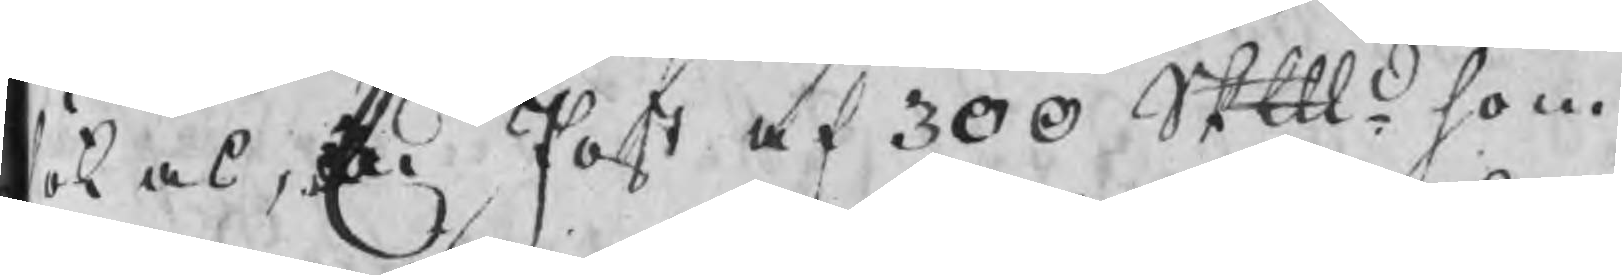sökas, En Post af 300 Skpd som
